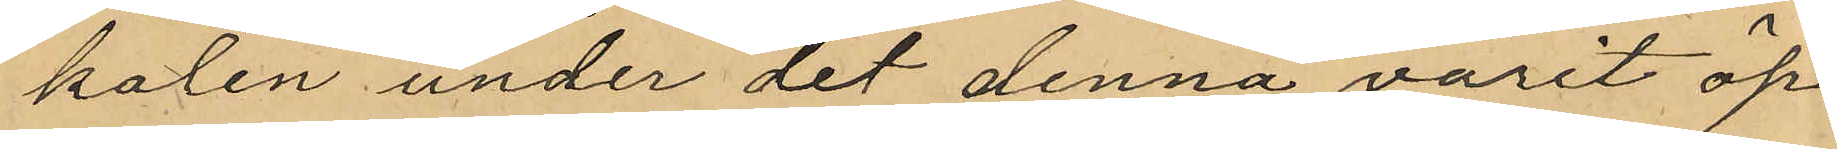kalen under det denna varit öp¬
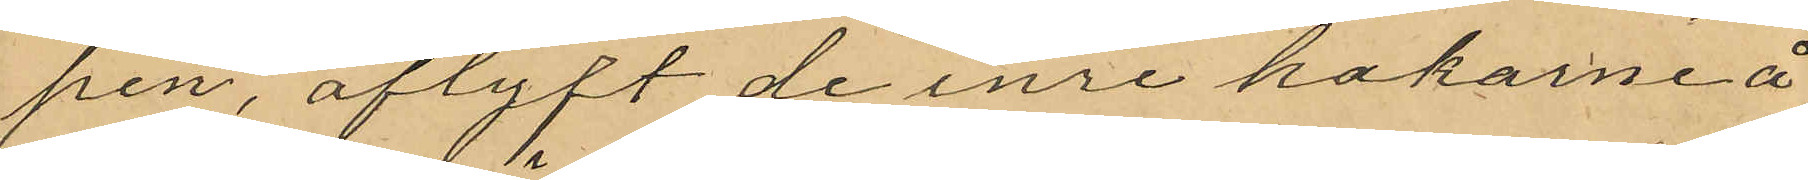pen, aflyft de inre hakarne å
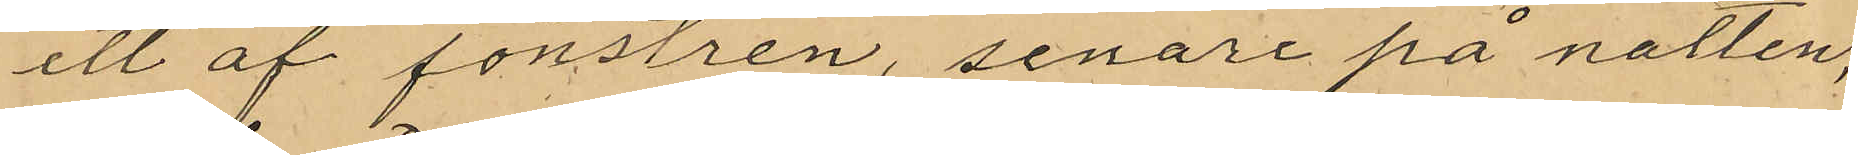ett af fönstren, senare på natten,
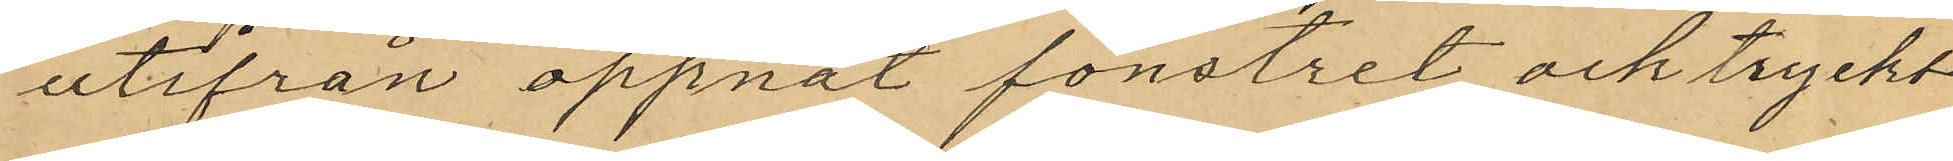utifrån öppnat fönstret och tryckt
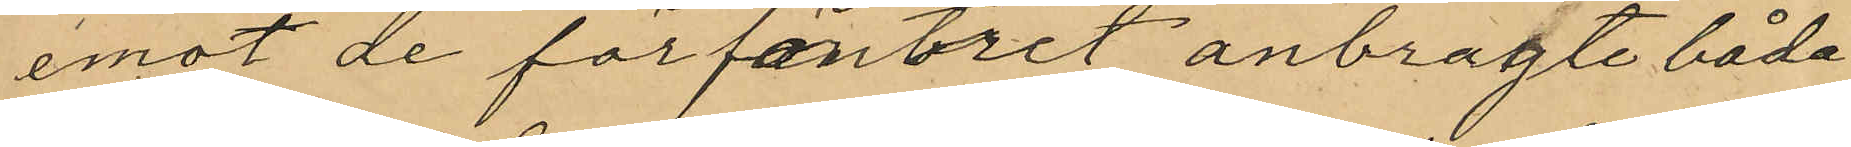emot de för fönstret anbragte båda
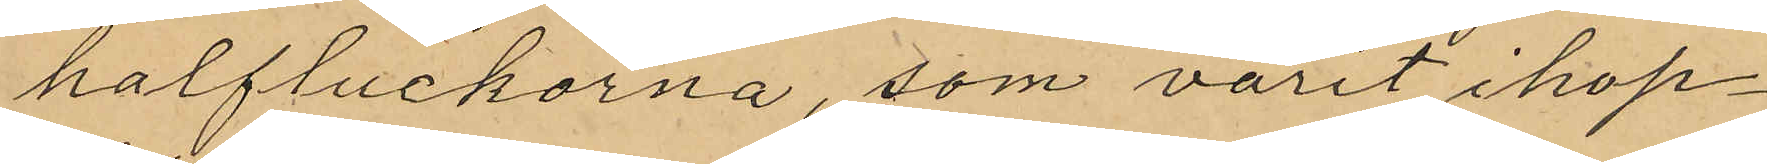halfluckorna, som varit ihop¬
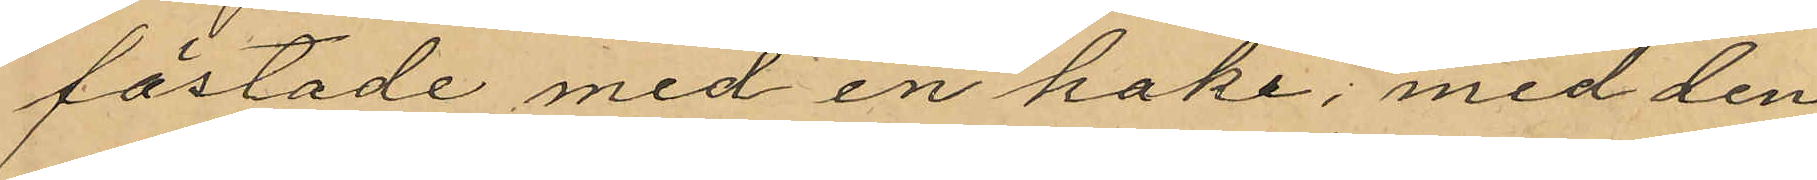fästade med en hake, med den
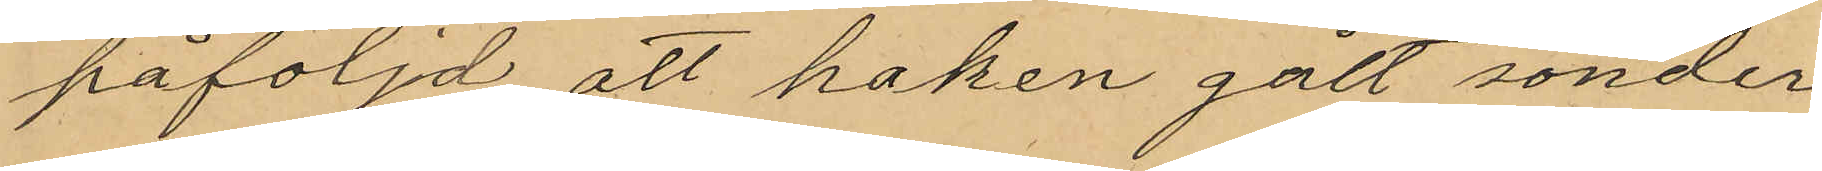påföljd att haken gått sönder
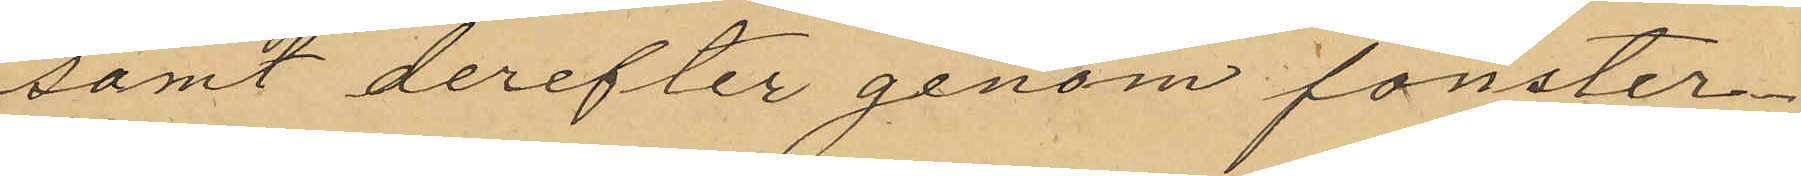samt derefter genom fönster¬
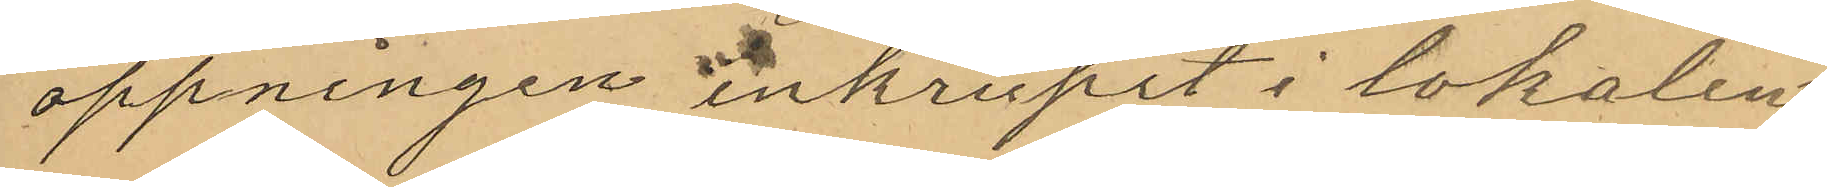öppningen inkrupit i lokalen
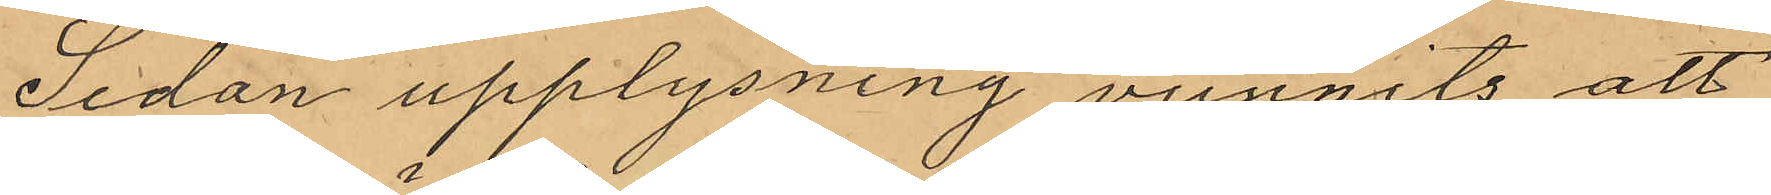Sedan upplysning vunnits att
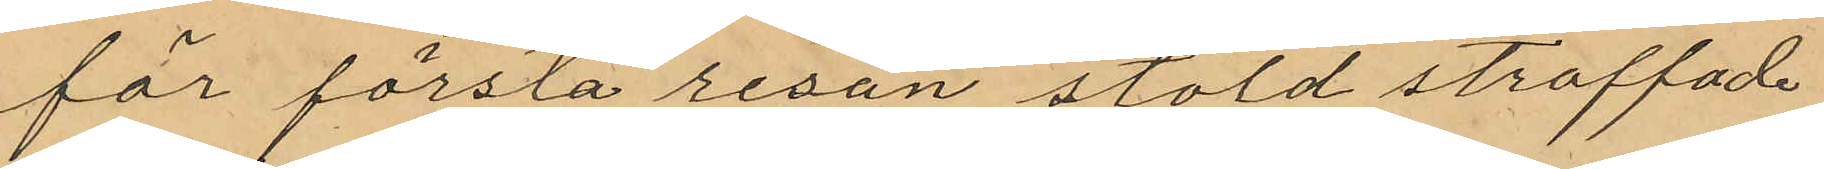för första resan stöld straffade
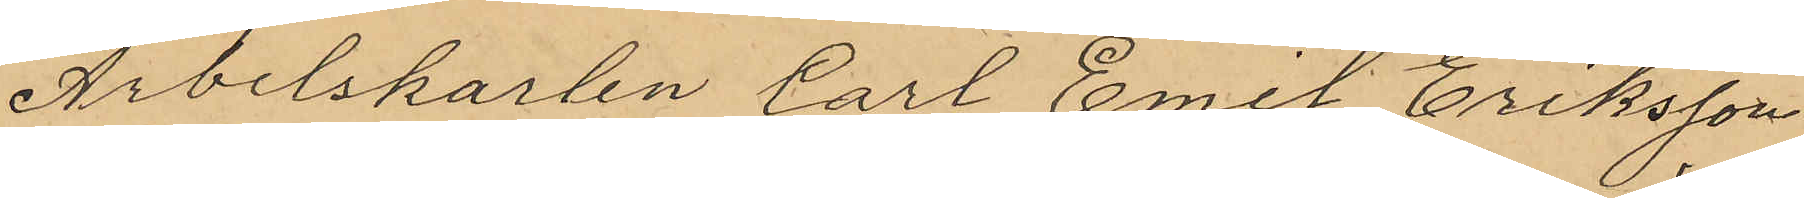Arbetskarlen Carl Emil Eriksson
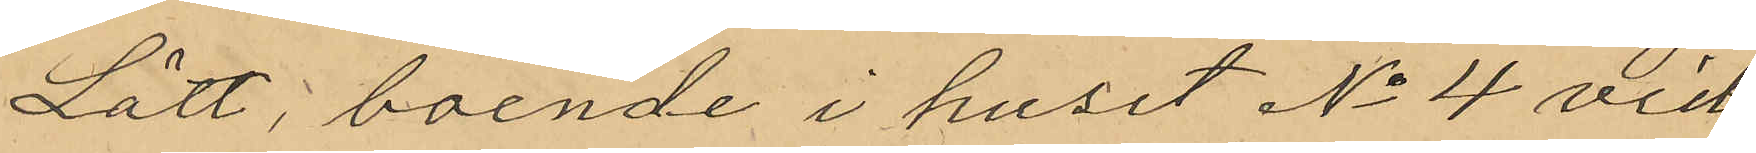Lätt, boende i huset No 4 vid
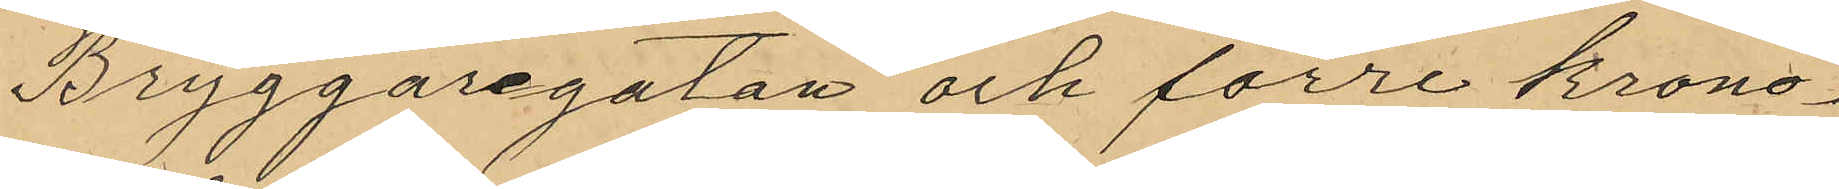Bryggaregatan och förre krono¬
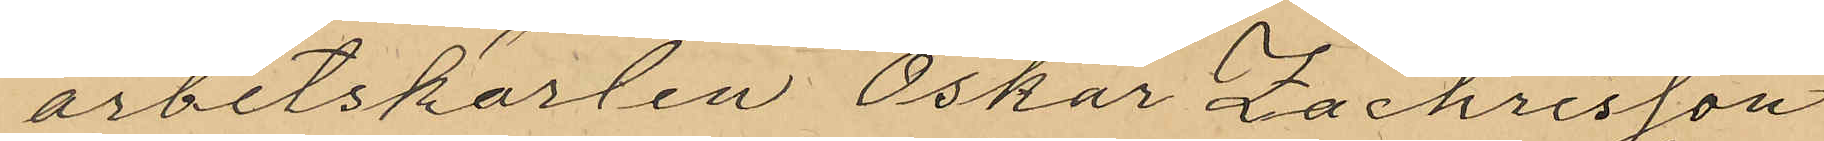arbetskarlen Oskar Zachrisson
